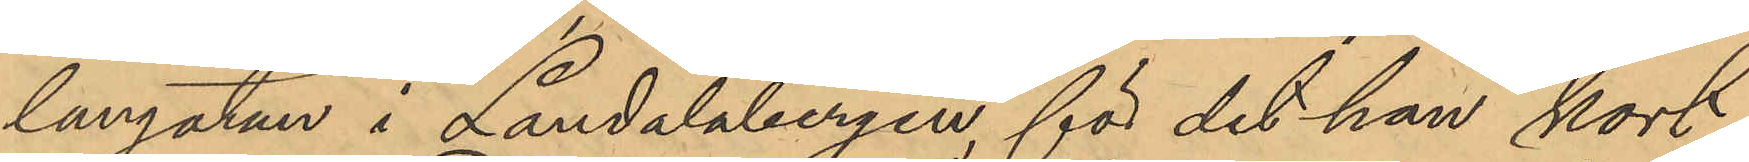langatan i Landalabergen, för det han kort
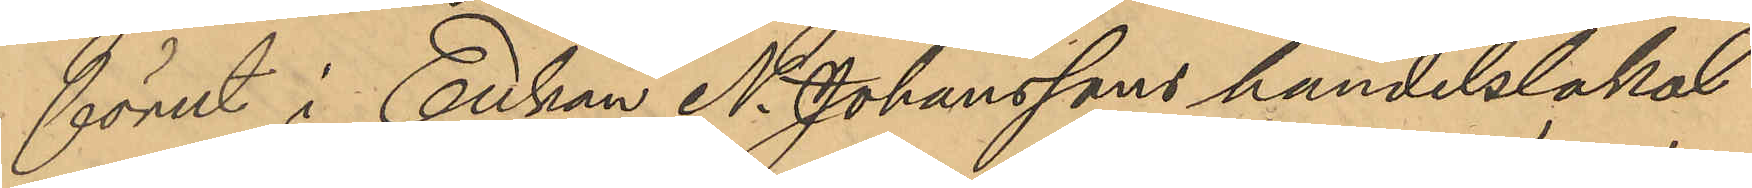förut i Enkan N. Johanssons handelslokal
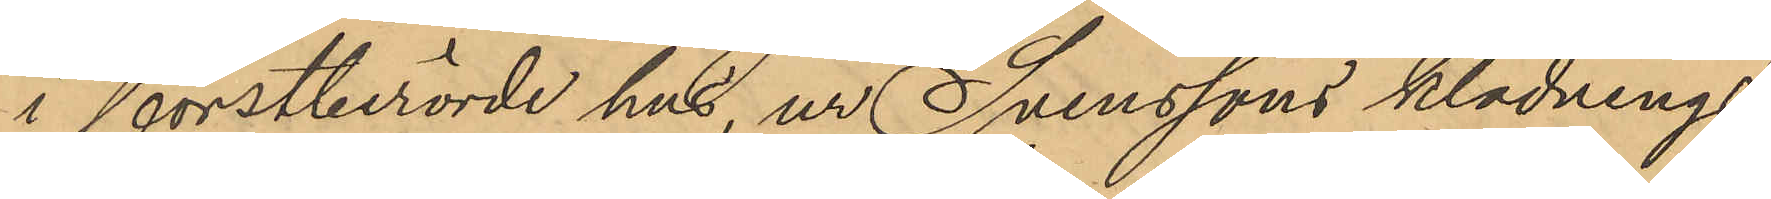i förstberörde hus, ur Svenssons klädnings¬
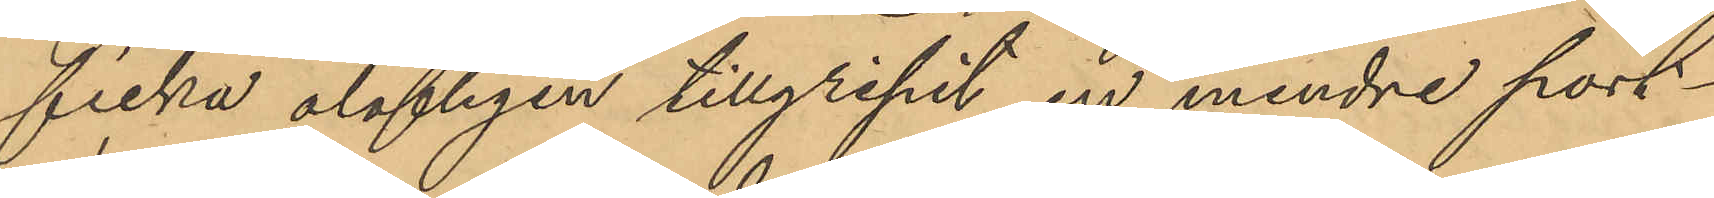ficka olofligen tillgripit en mindre port¬
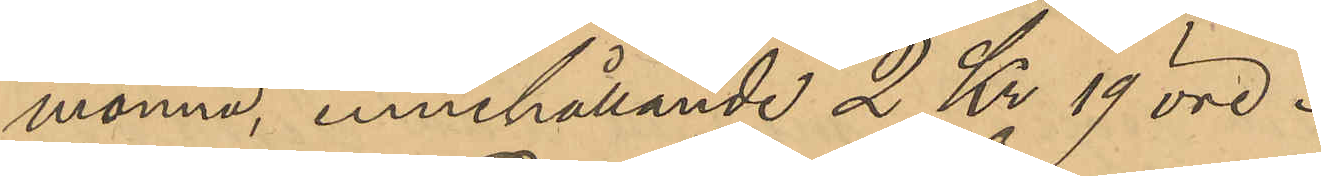monnä, innehållande 2 Kr 19 öre.
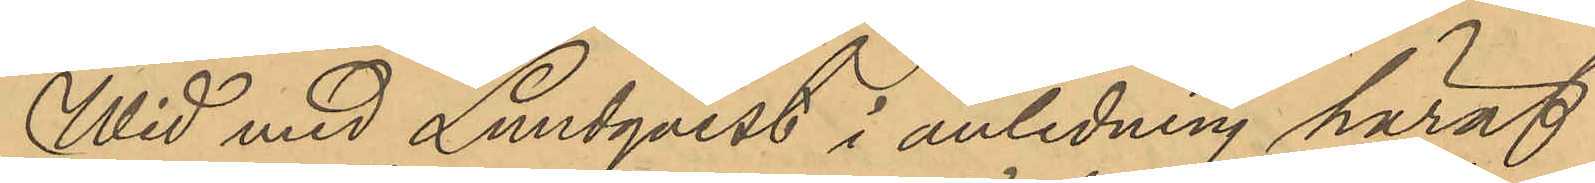Wid med Lundqvist i anledning häraf
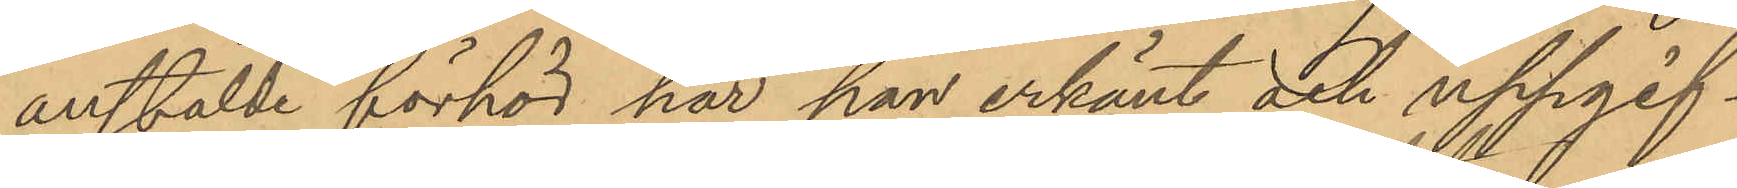anstälde förhör har han erkänt och uppgif¬
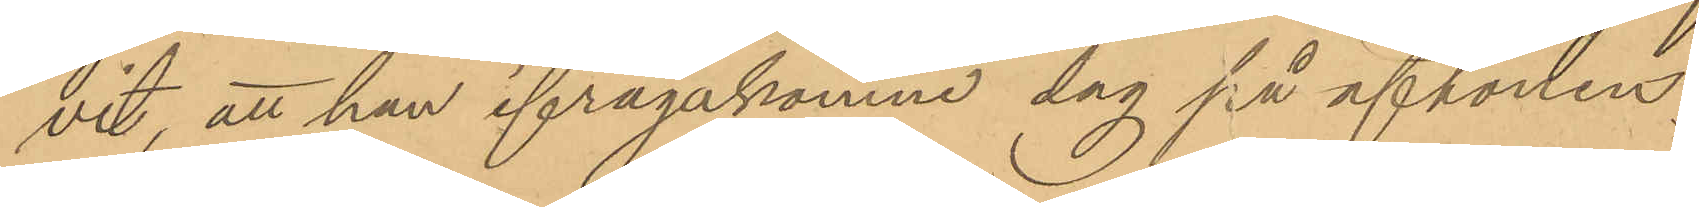vit, att han ifrågakomne dag på aftonen;
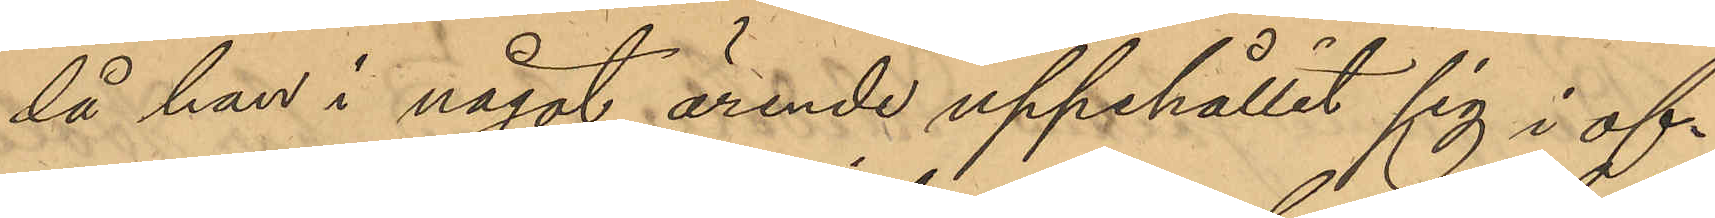då han i något ärende uppehållit sig i of¬
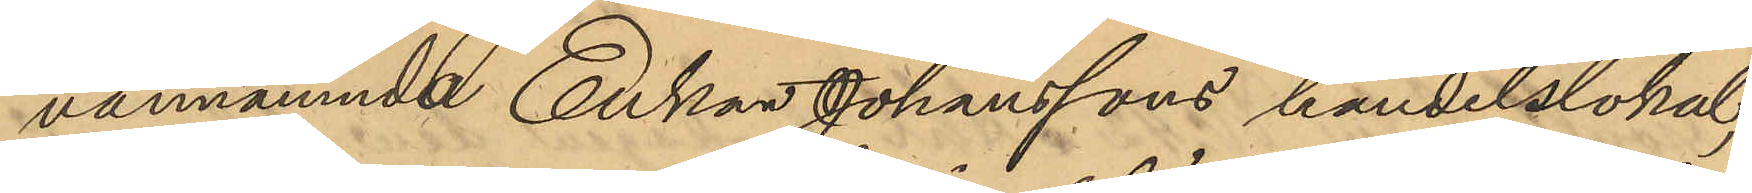vannämnde Enkan Johanssons handelslokal,
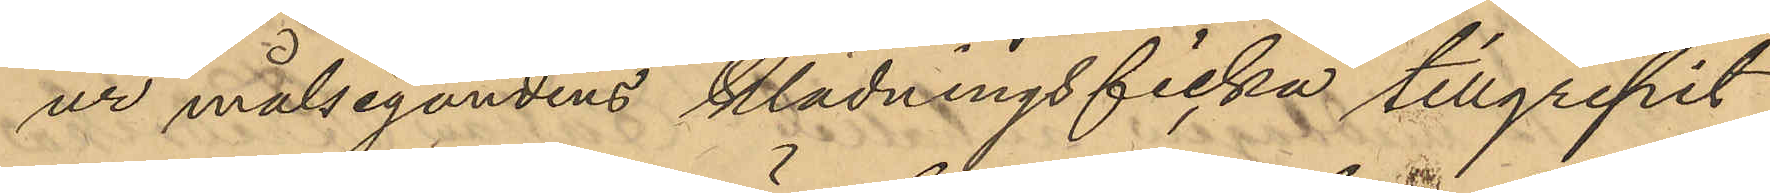ur målsegandens klädningsficka tillgripit
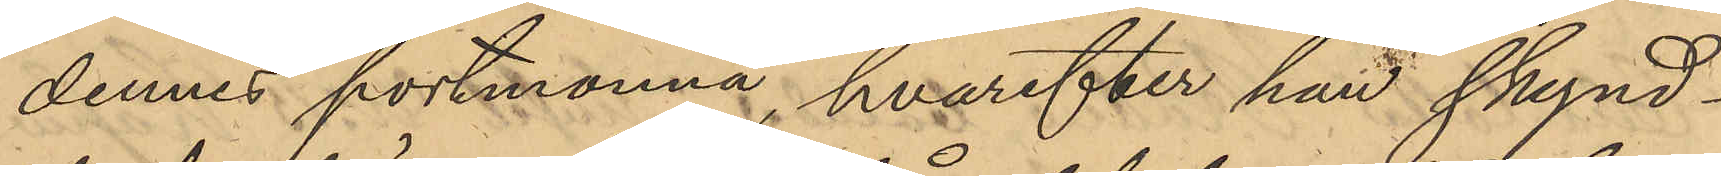dennes portmonnä, hvarefter han skynd¬
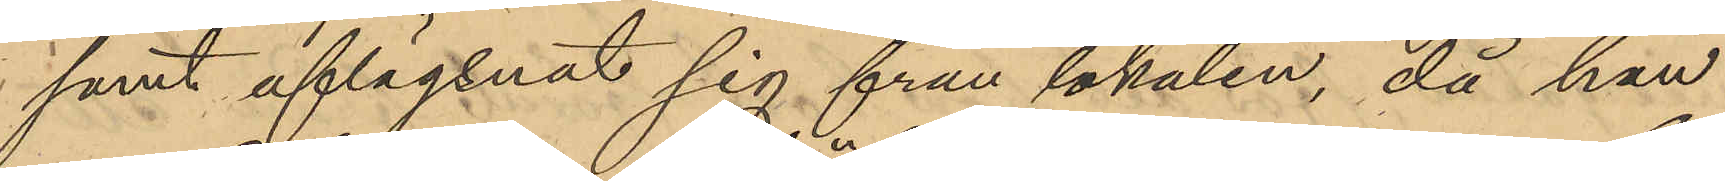samt aflägsnat sig från lokalen, då han
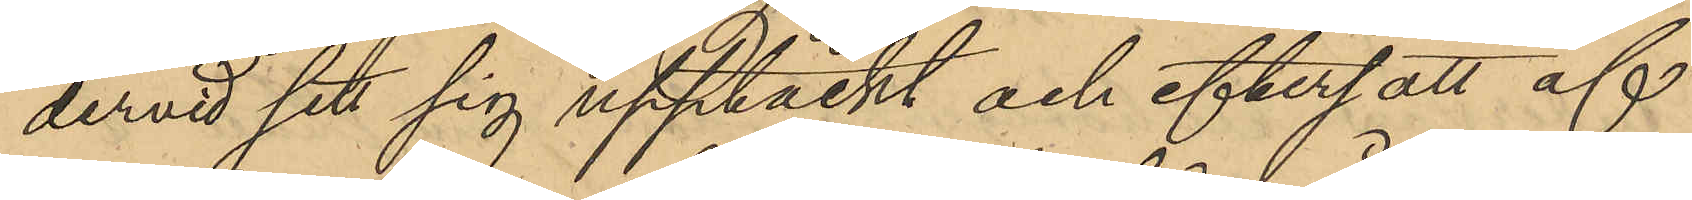dervid sett sig upptäckt och eftersatt af
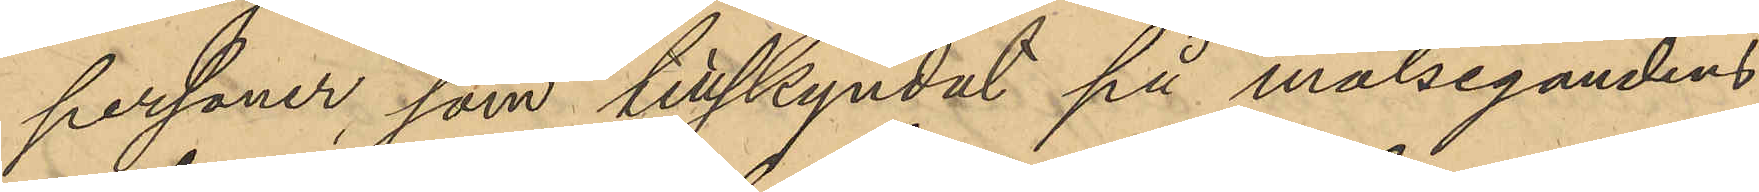personer, som tillskyndat på målsegandens
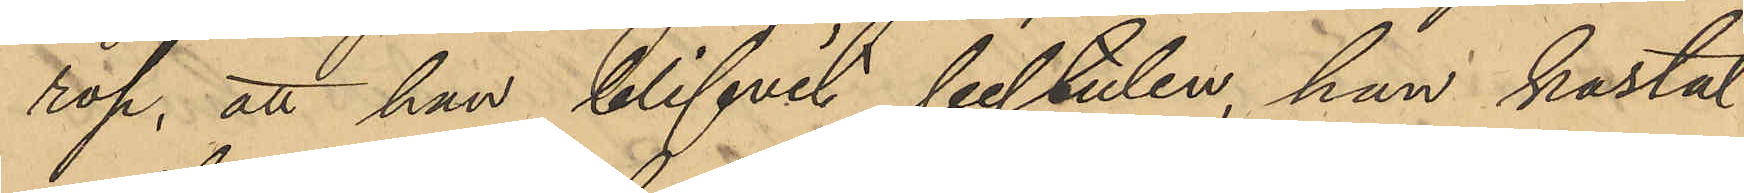rop, att han blifvit bestulen, han kastat
